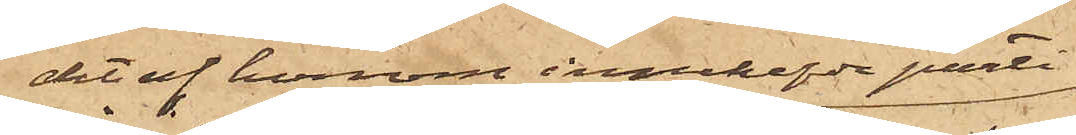det af honom innehafde parti
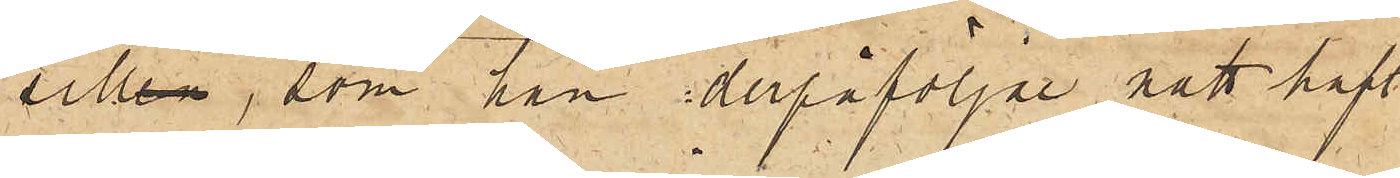sill, som han derpåföljde natt haft
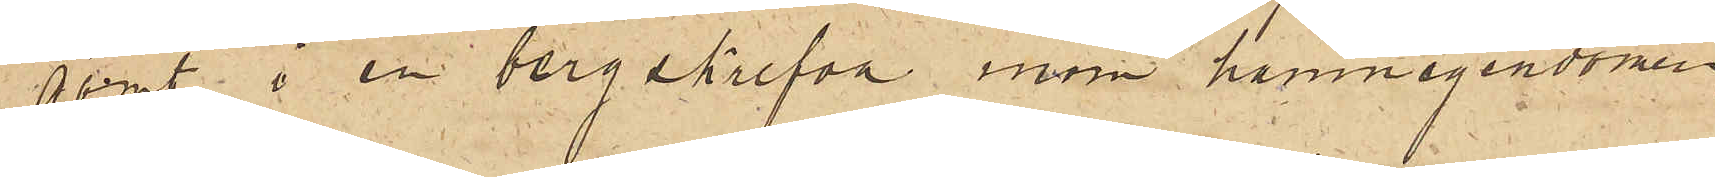gömt i en bergskrefva inom hamnegendomen.
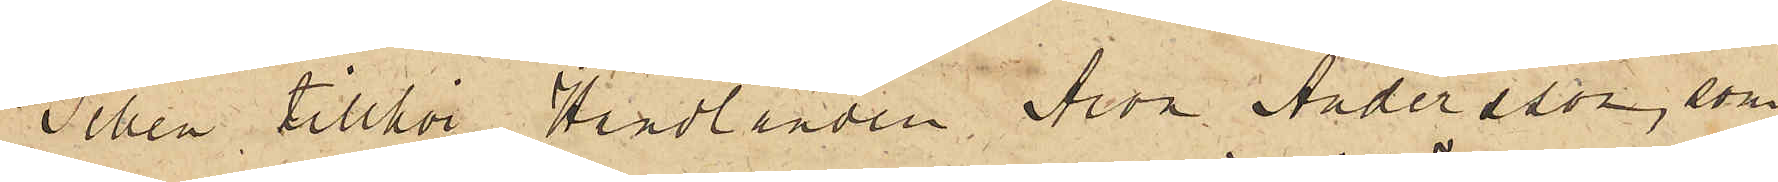Sillen tillhör Handlanden Aron Andersson, som
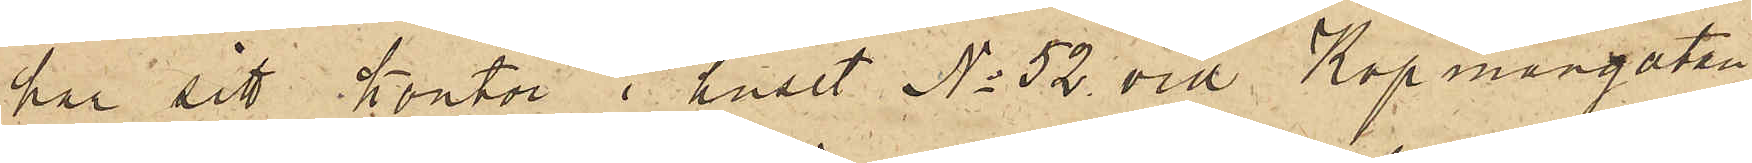har sitt kontor i huset No 52 vid Köpmangatan
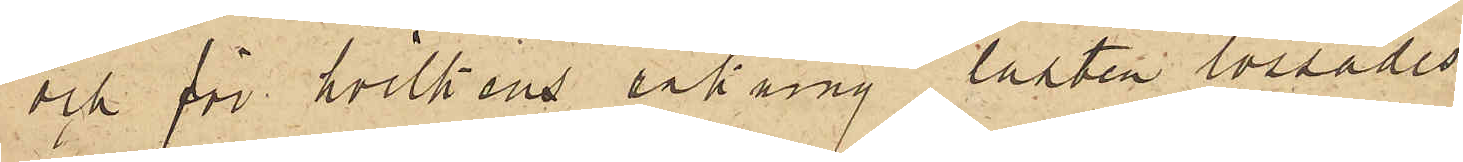och för hvilkens räkning lasten lossades.
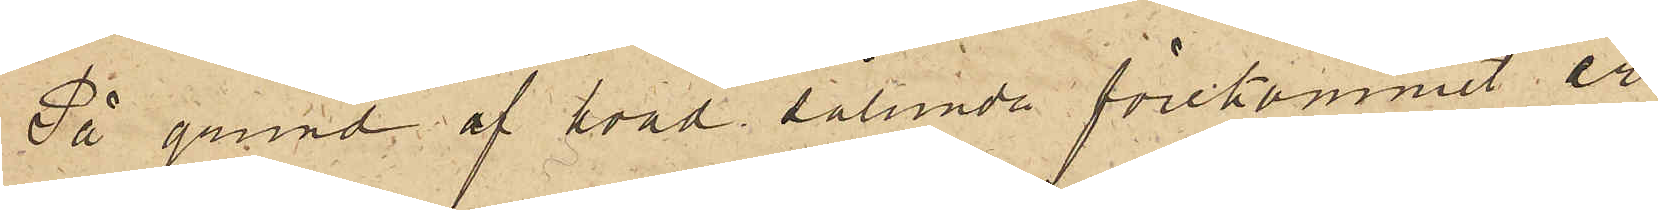På grund af hvad sålunda förekommit är
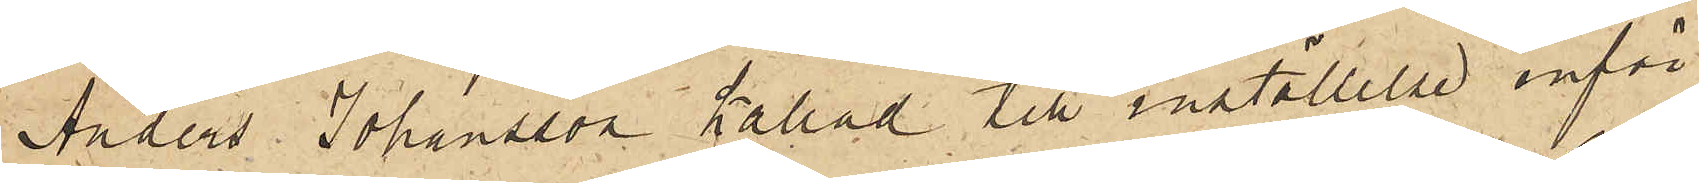Anders Johansson kallad till inställelse inför
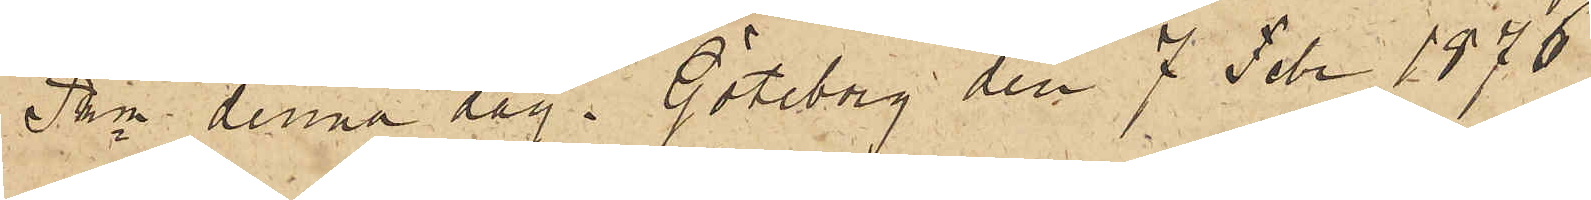Pkn denna dag. Göteborg den 7 Febr 1876.
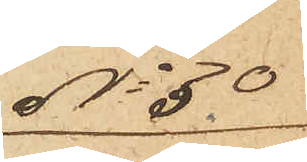No 30
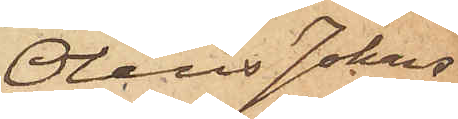Olaus Johans¬
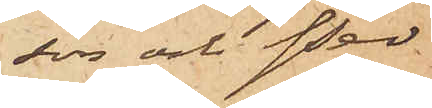son och Per
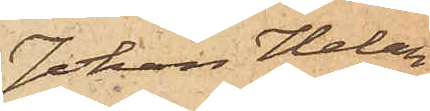Johan Helan¬
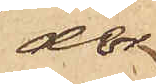der
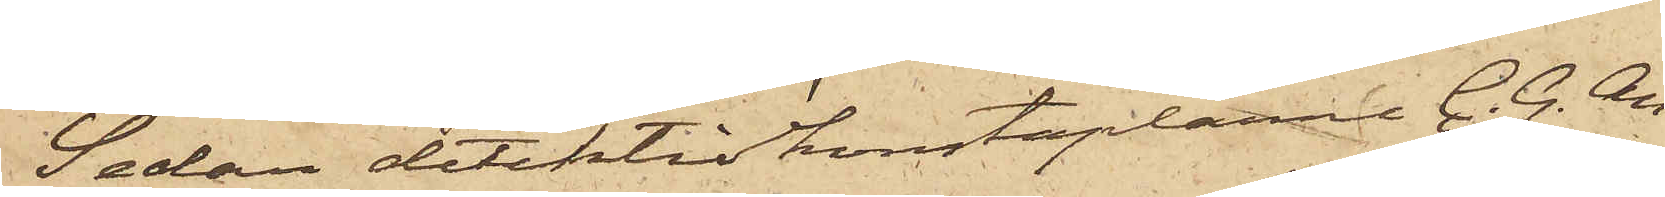Sedan detektivkonstaplarne C. G. An¬
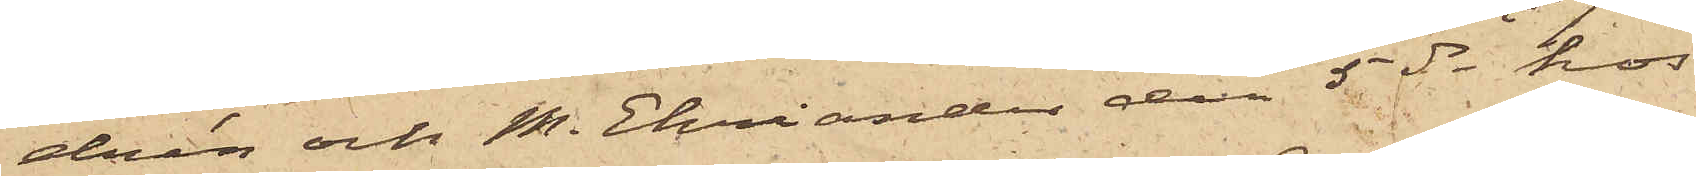drén och M. Ehriander den 5 ds hos
